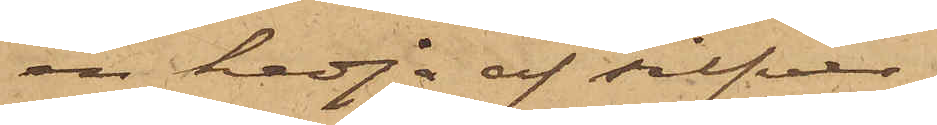en kedja af silfver
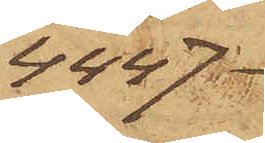4447
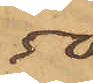50
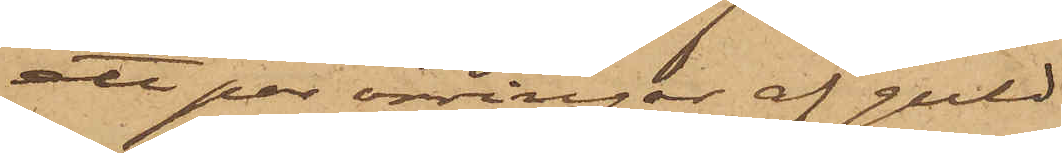att par örringar af guld
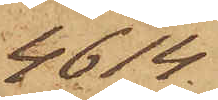4614
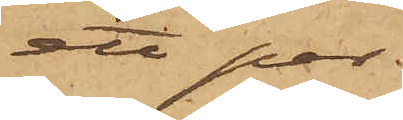ett par do do
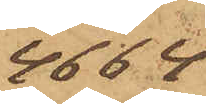4664
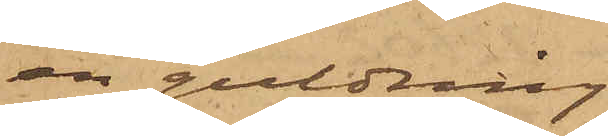en guldring
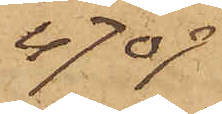4709
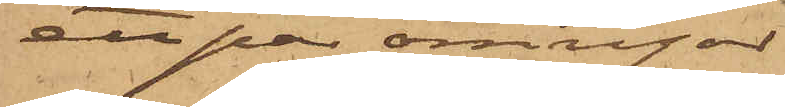en par örringar
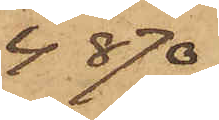4870
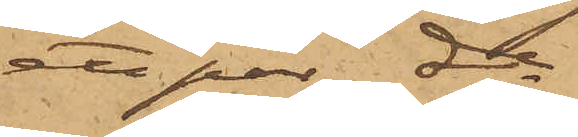ett par do
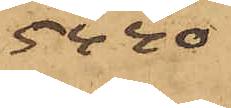5440
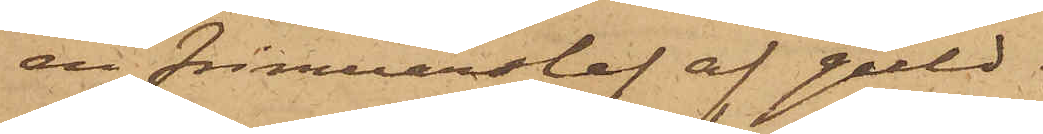en frimurarslef af guld
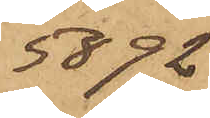5692
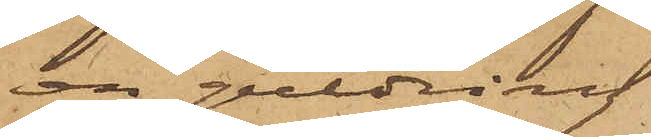en guldring
